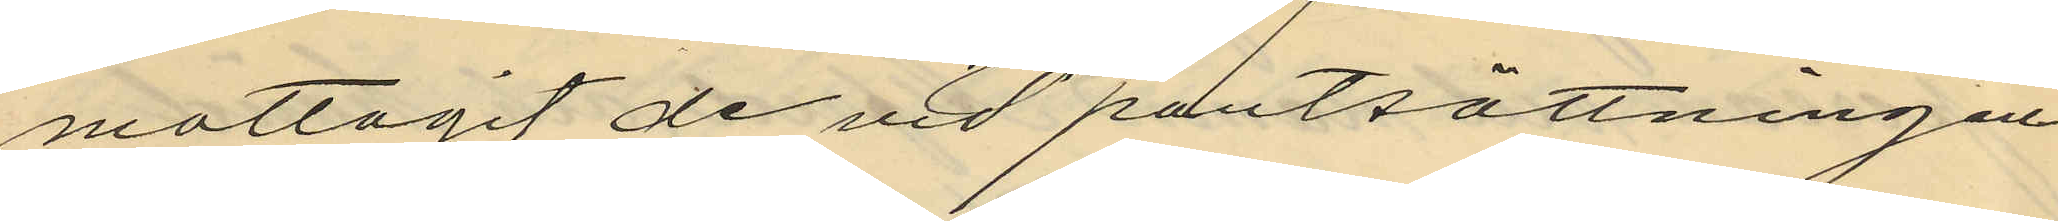mottagit de vid pantsättningen
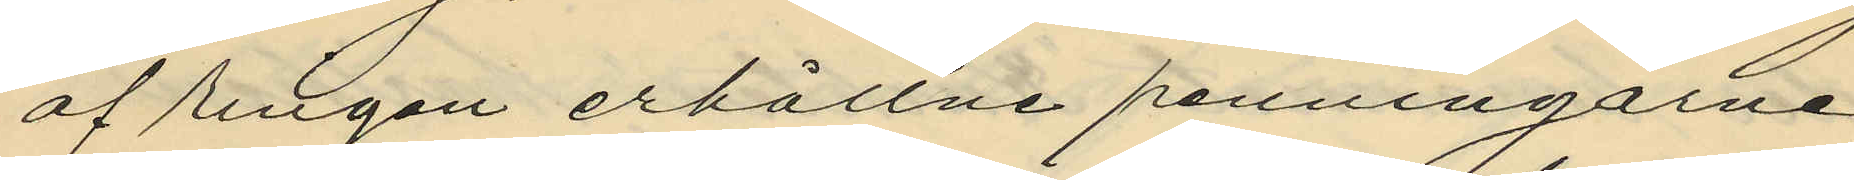af ringen erhållne penningarne,
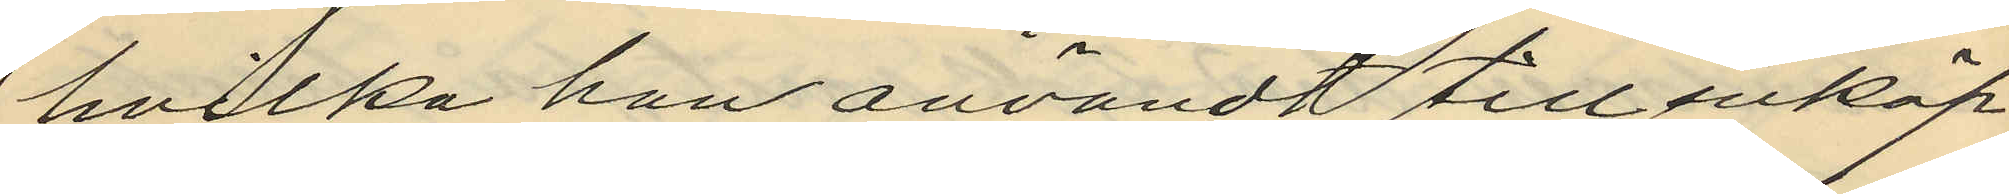hvilka han användt till inköp
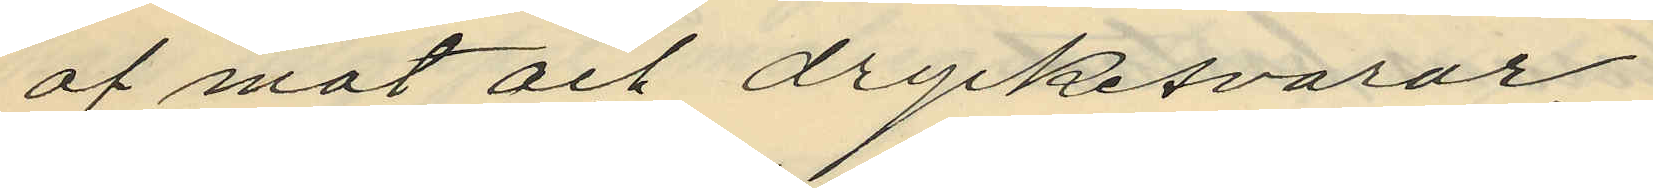af mat och dryckesvaror.
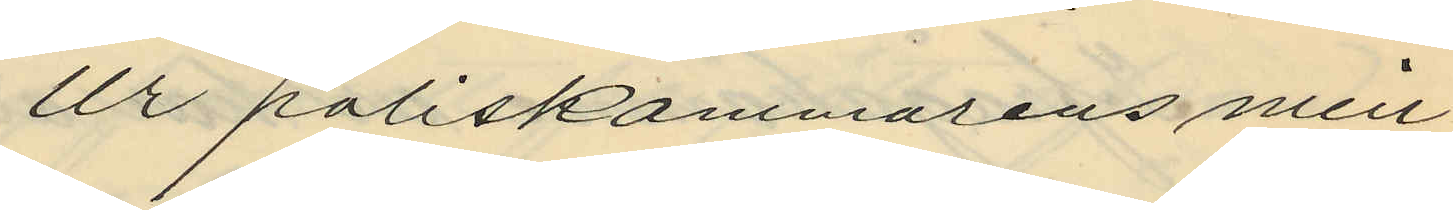Ur poliskammarens min¬
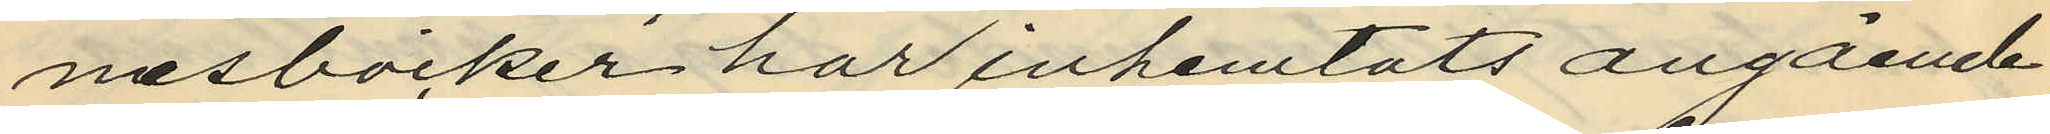nesböcker har inhemtats angående
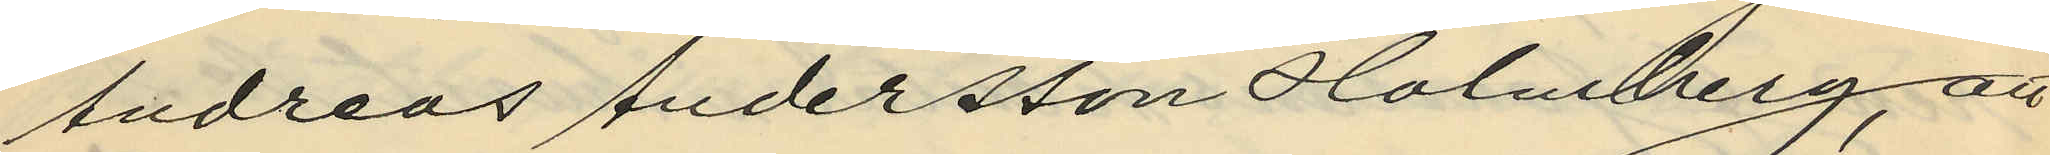Andreas Andersson Holmberg, att
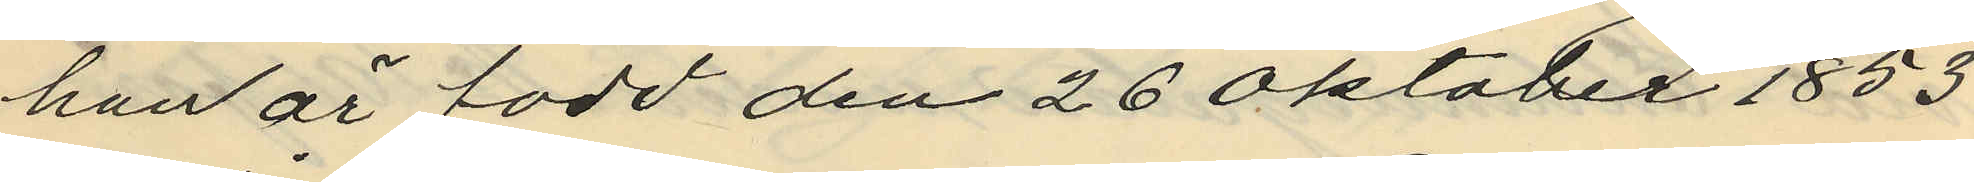han är född den 26 Oktober 1853
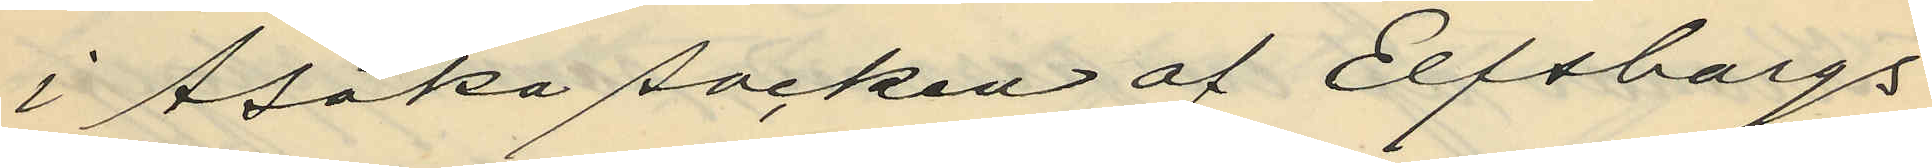i Åsaka socken af Elfsborgs
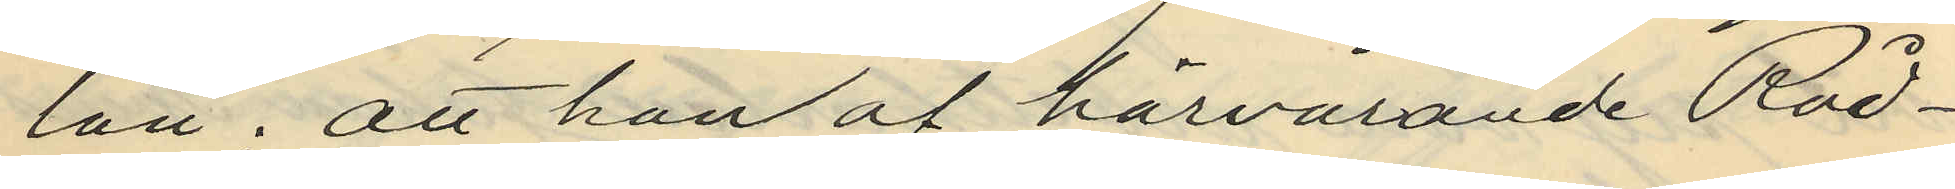län; att han af härvarande Råd¬
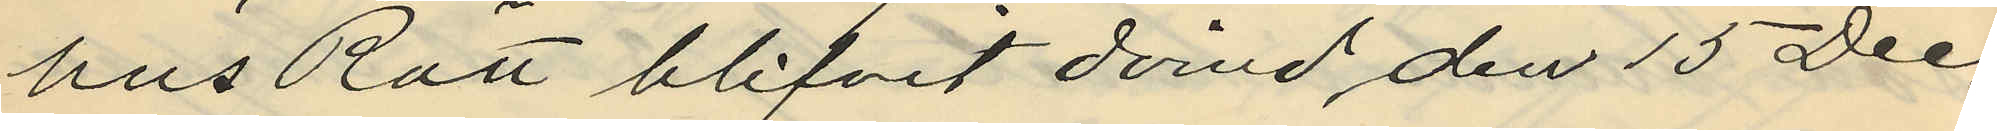hus Rätt blifvit dömd, den 15 Dec.
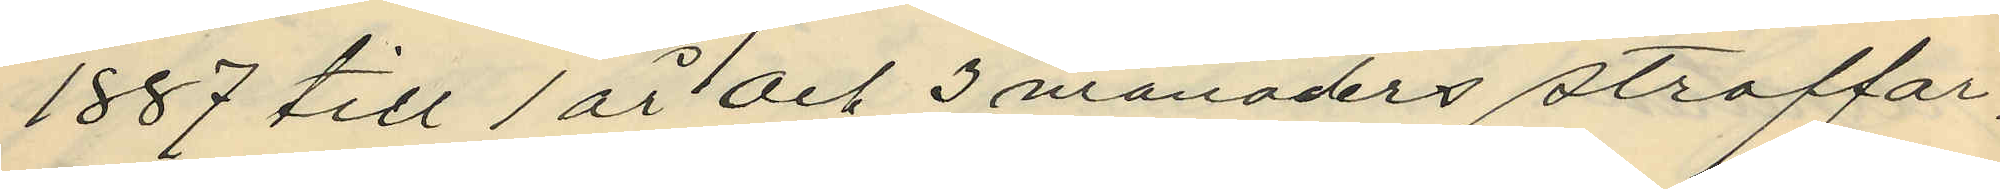1887 till 1 år och 3 månaders straffar¬
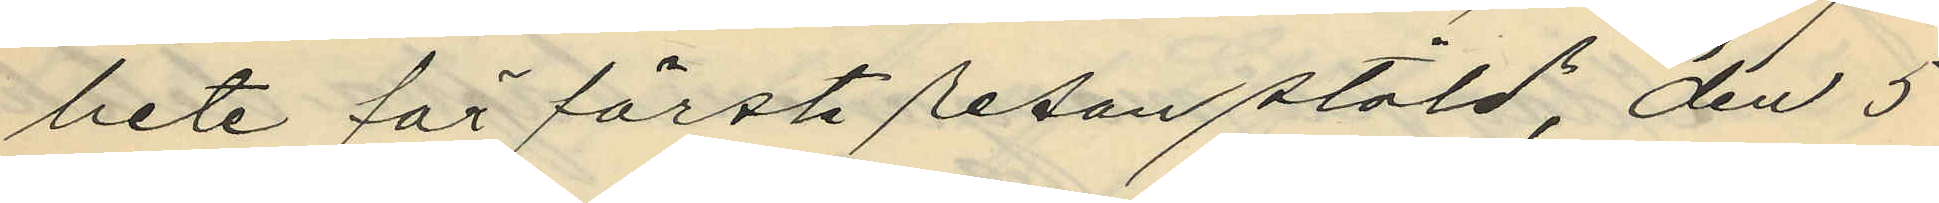bete för första resan stöld, den 5
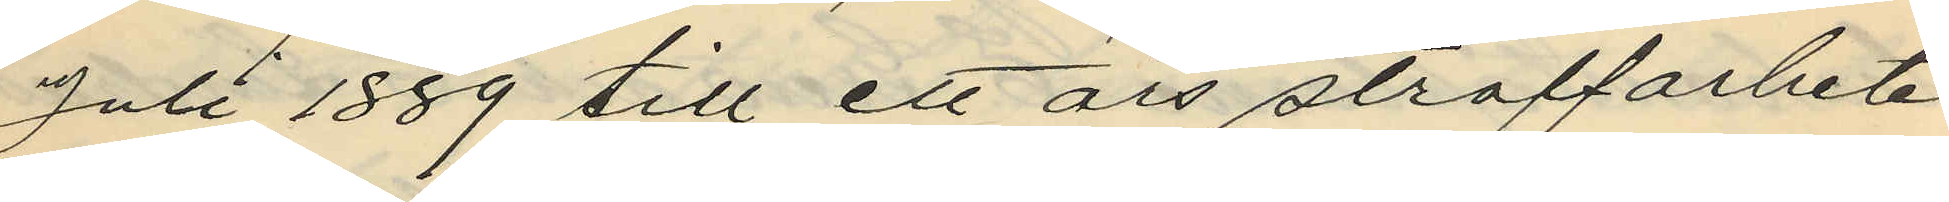Juli 1889 till ett års straffarbete
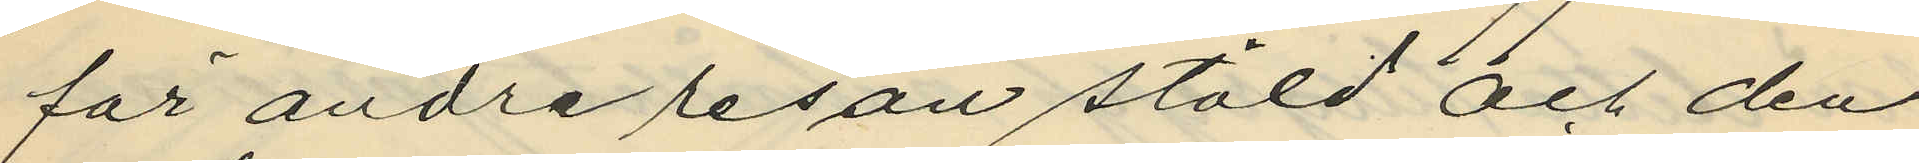för andra resan stöld och den
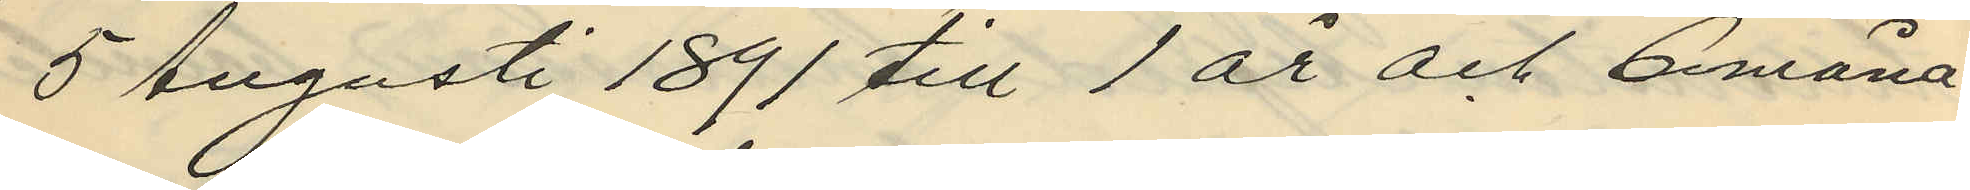5 Augusti 1891 till 1 år och 6 måna¬
